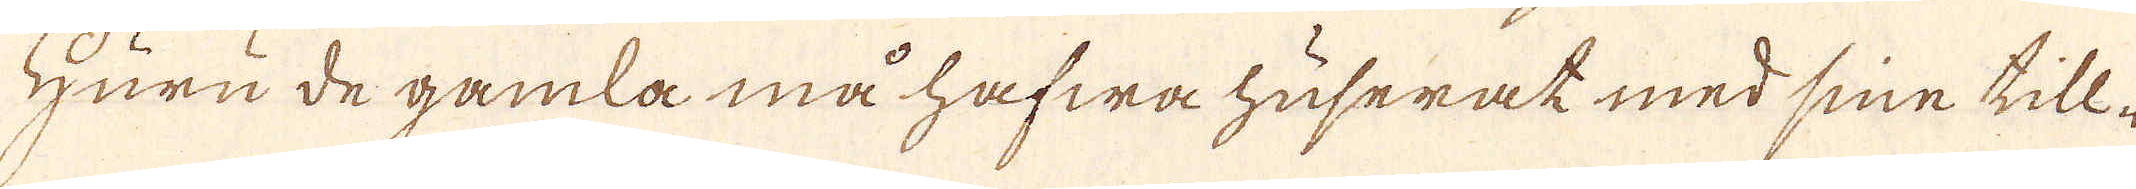Huru de gamla må hafwa huserat med sine till-
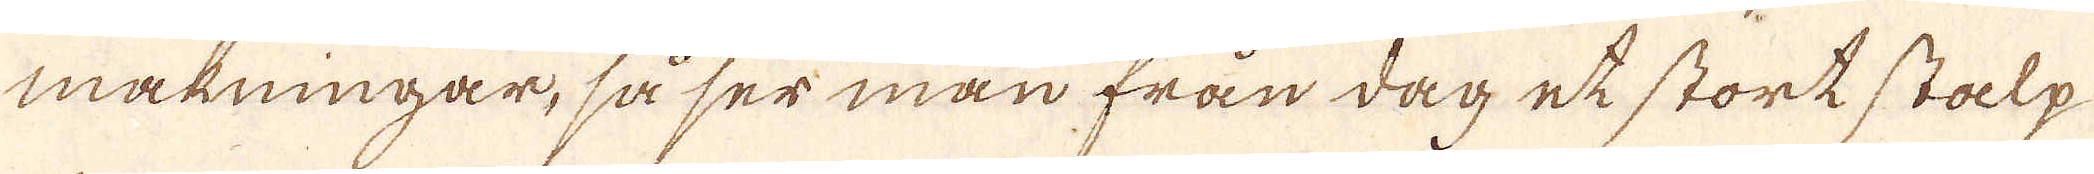makningar, så ser man från dag et stort stalp
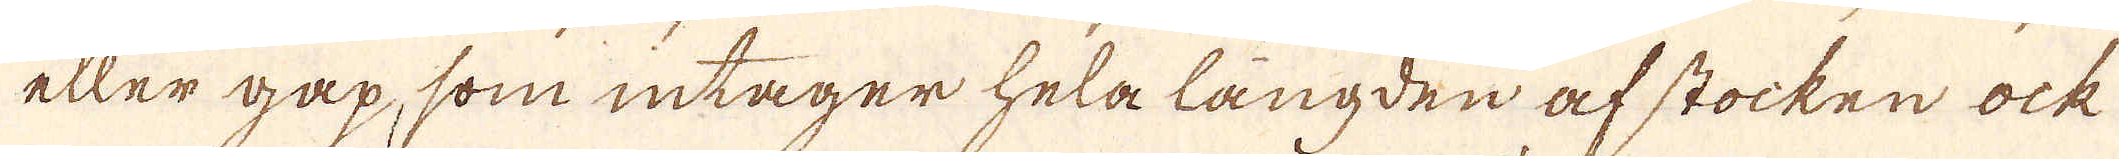eller gap, som intager hela längden af stocken ock
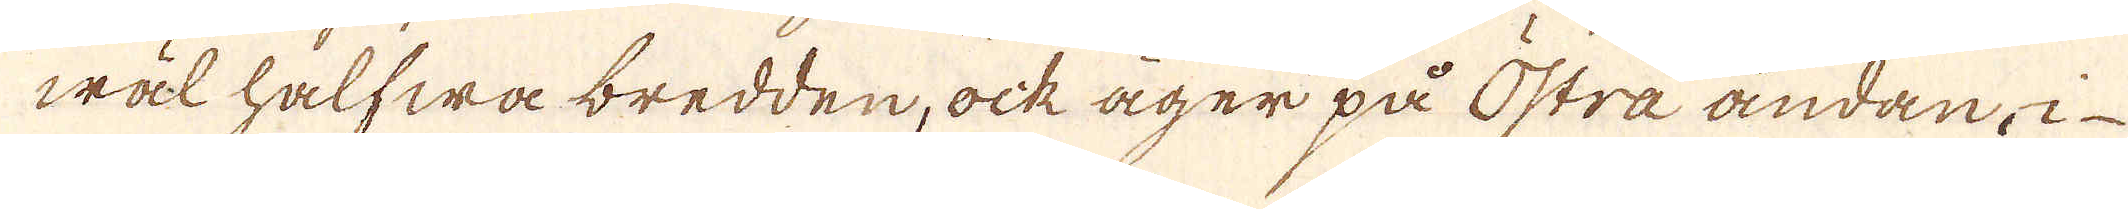wäl halfwa bredden, ock äger på Östra ändan, i-
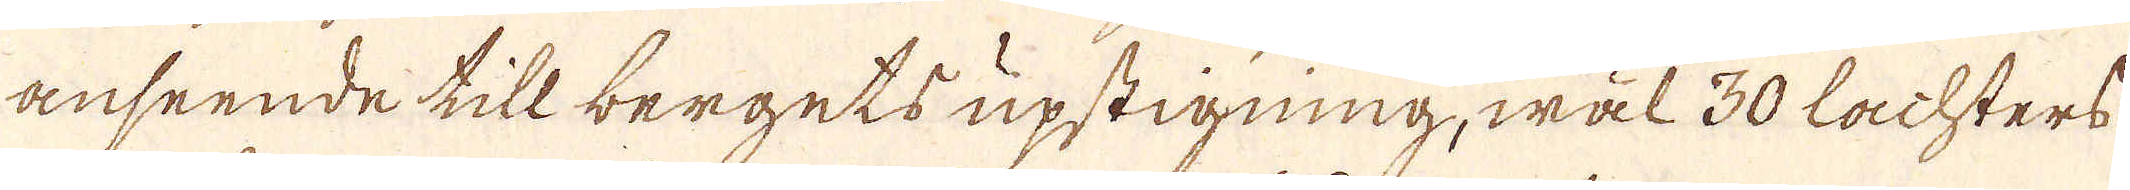anseende till bergets upstigning, wäl 30 lachters
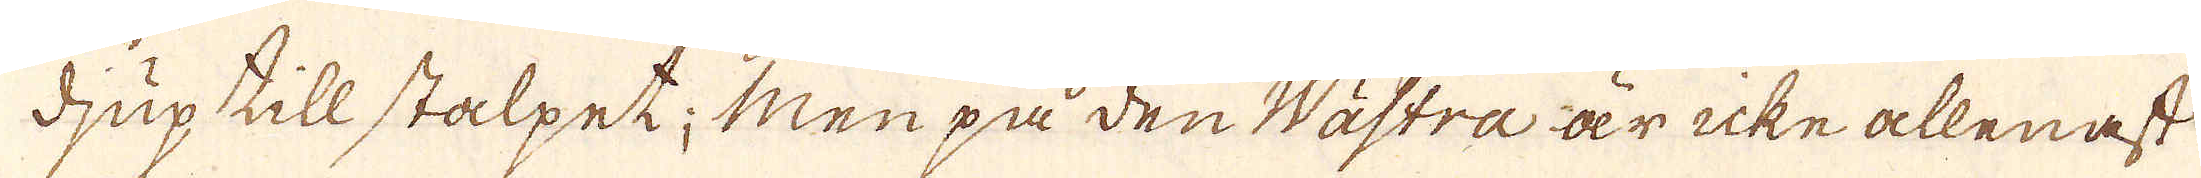djup till stalpet; Men på den Wästra är icke allenast
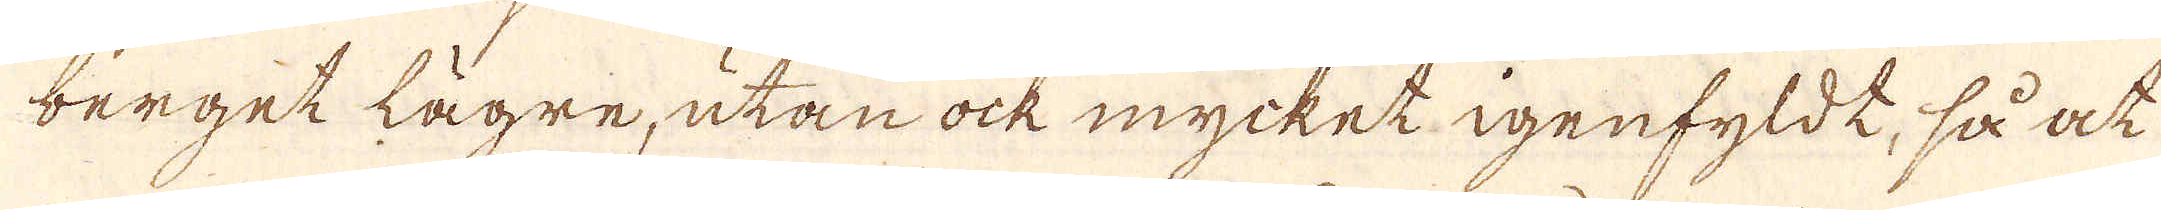berget lägre, utan ock mycket igenfyldt, så at
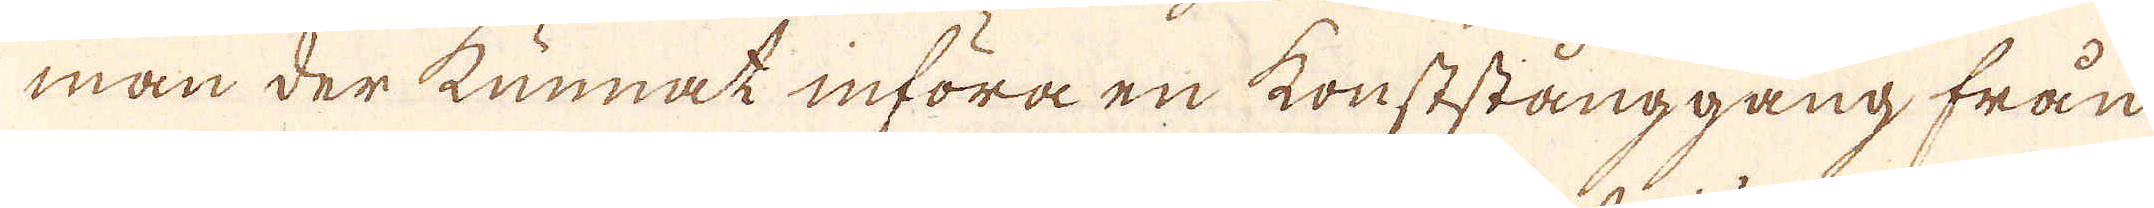man der kunnat införa en konststånggång från
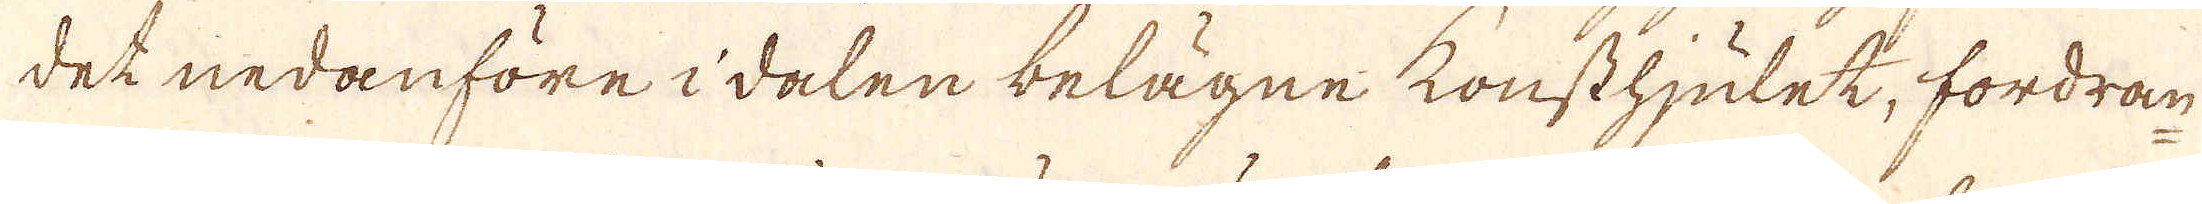det nedanföre i dalen belägne konsthjulet, fordran
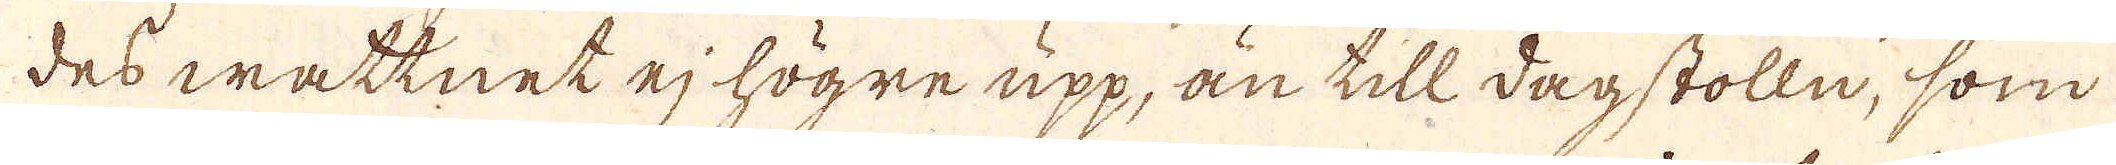des wattnet ej högre upp, än till dagstolln, som
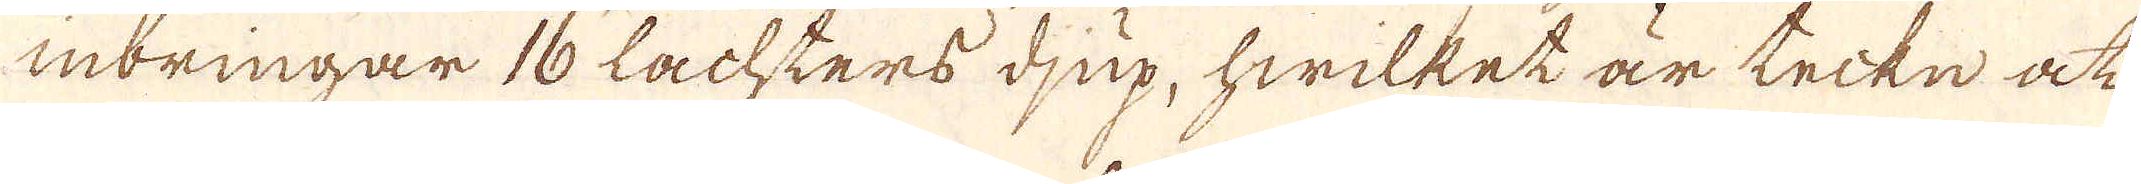inbringar 16 Lachters djup, hwilket är tecke at
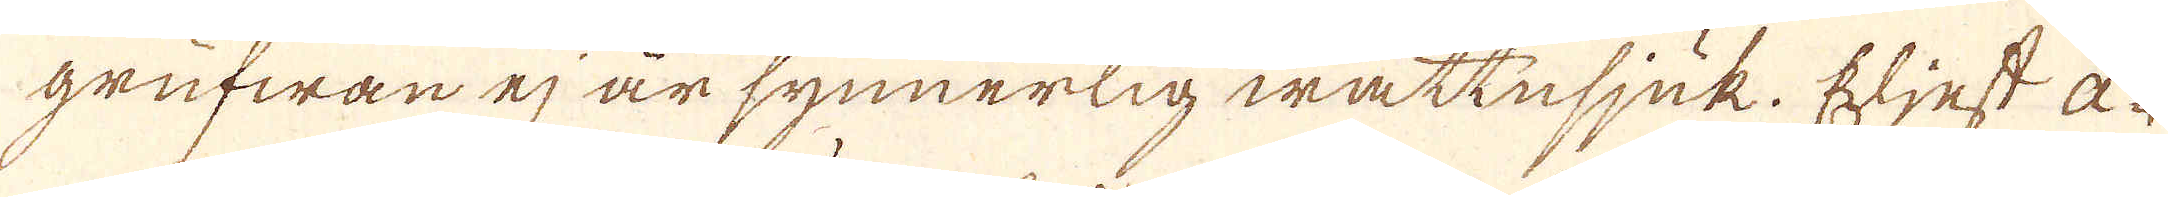grufwan ej är synnerlig wattnsjuk. Eljest a-
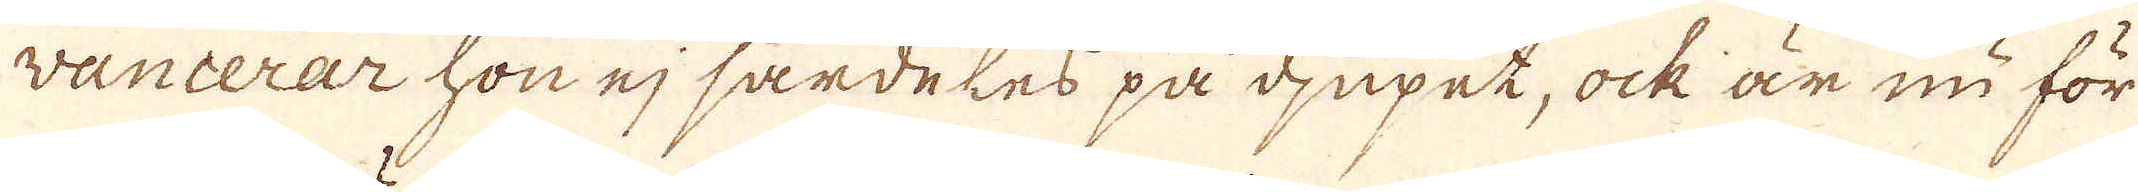vancerar hon ej särdeles på djupet, ock är nu för
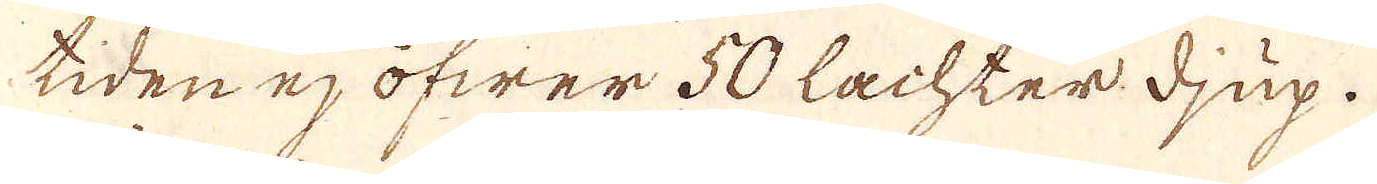tiden ej öfwer 50 Lachter djup.
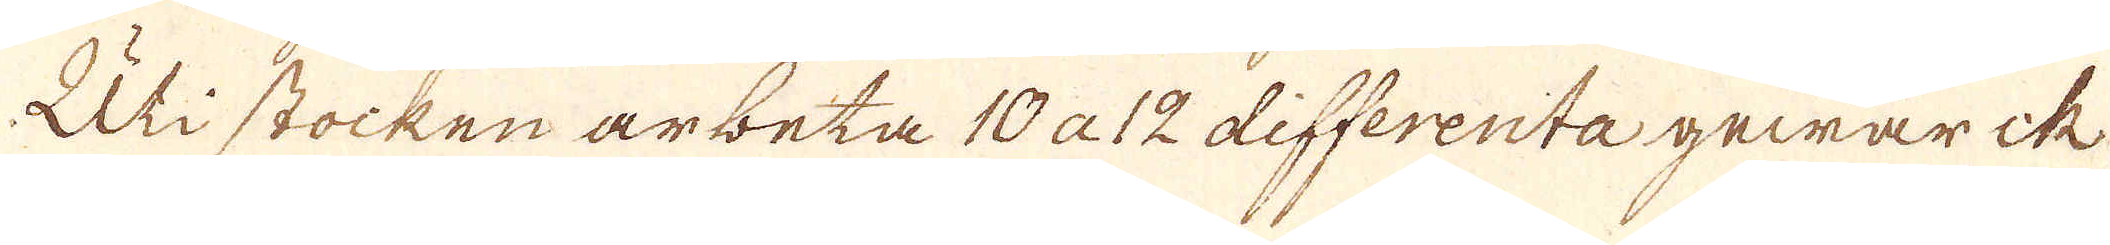Uti stocken arbeta 10 a 12 differenta gewärck
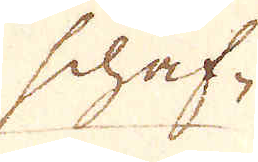schaf-
